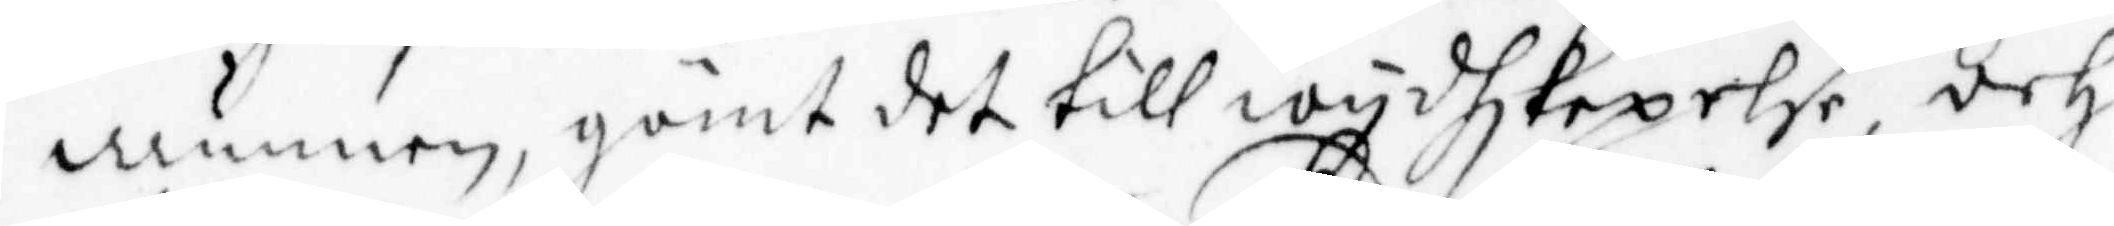munnen, gömt det till widhskepelser, och
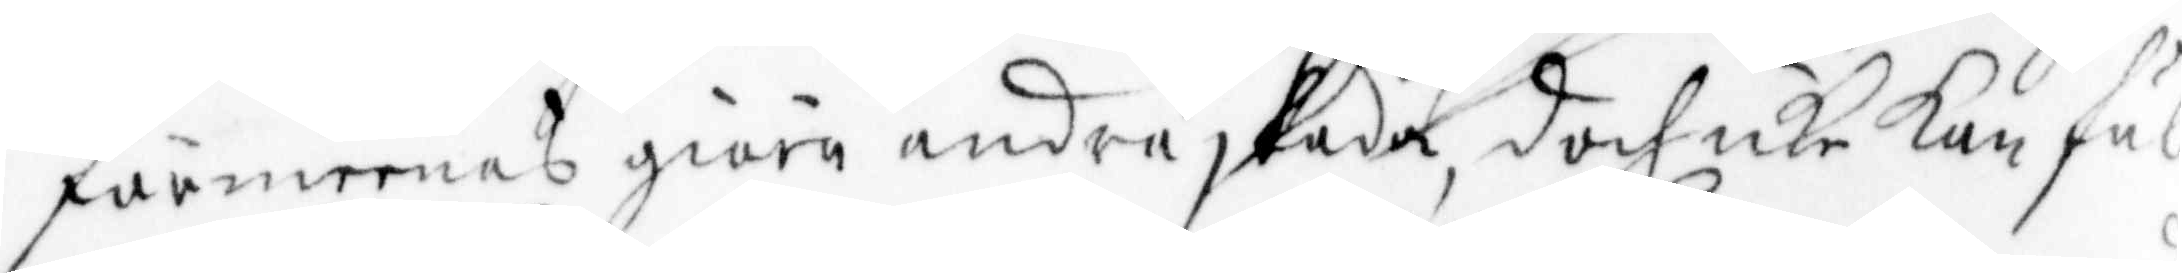förmeenas giöra andra skada, doch icke kan ful¬
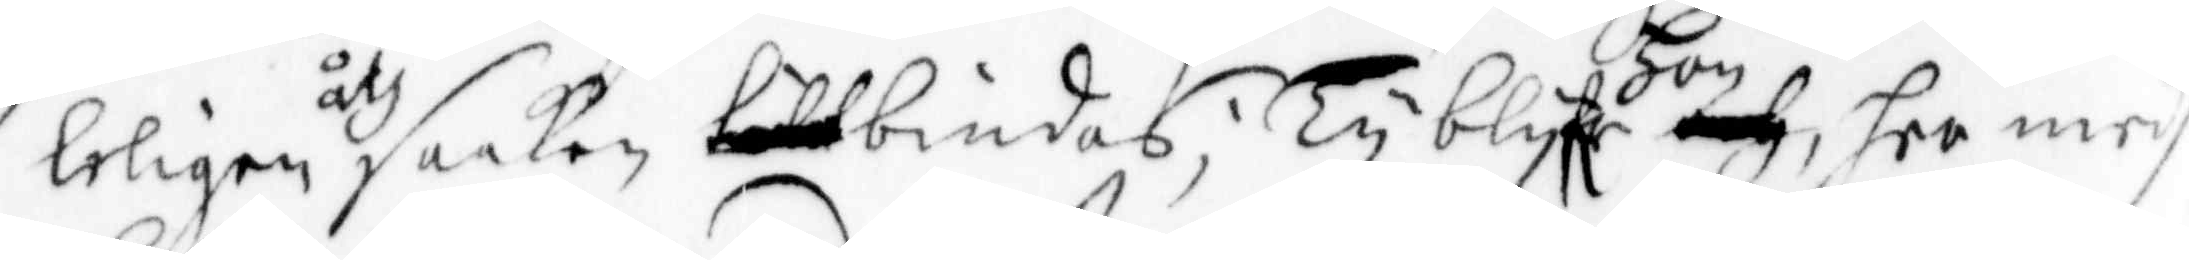leligen åth saaken bindas; Ty blyfe hon her medh
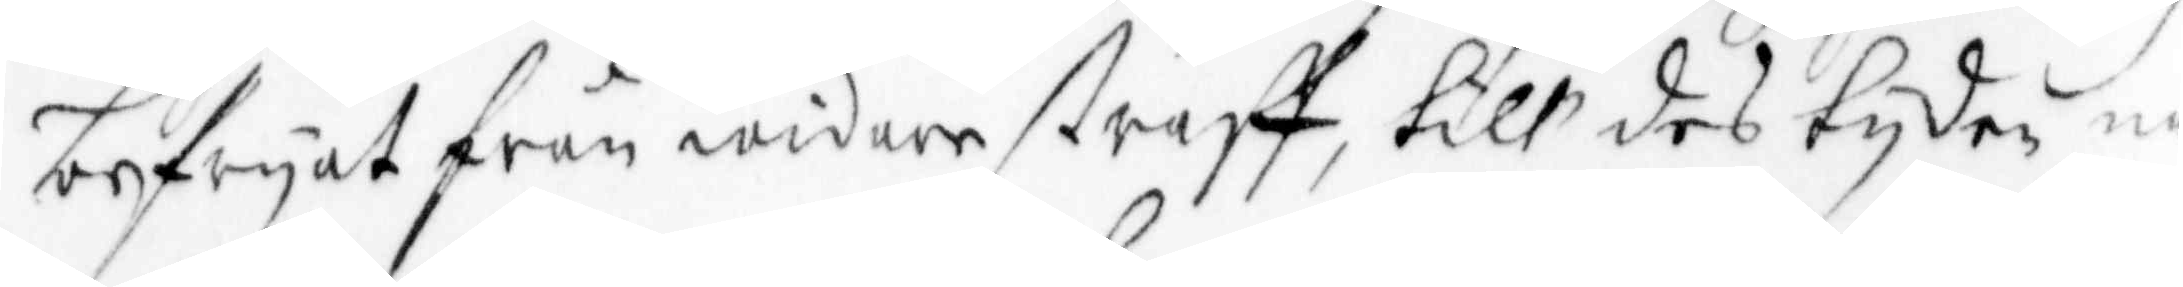befryat från widare straff, till des tyden nå¬
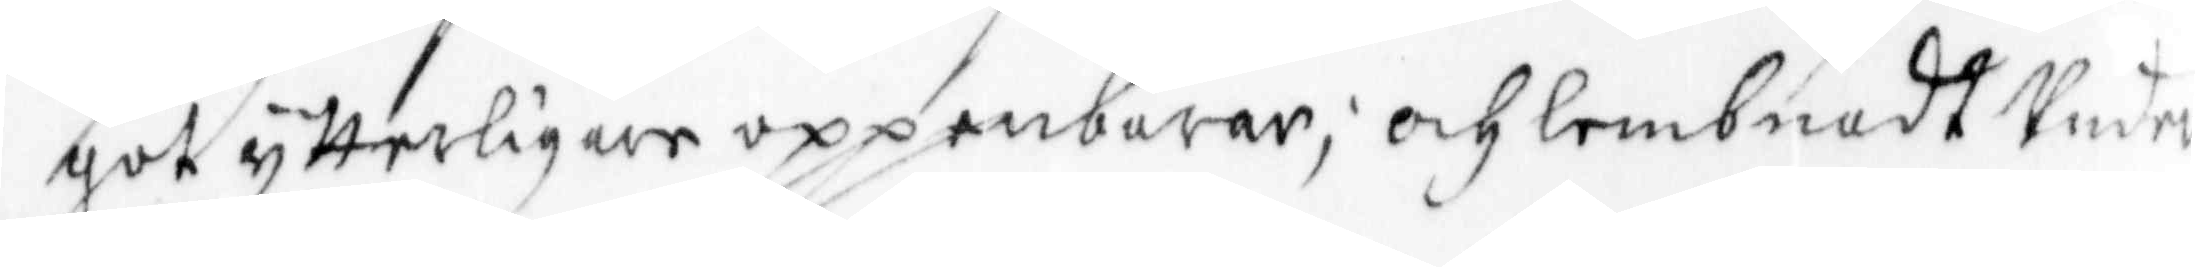got ytterligare uppenbarar; och lembnadt Under
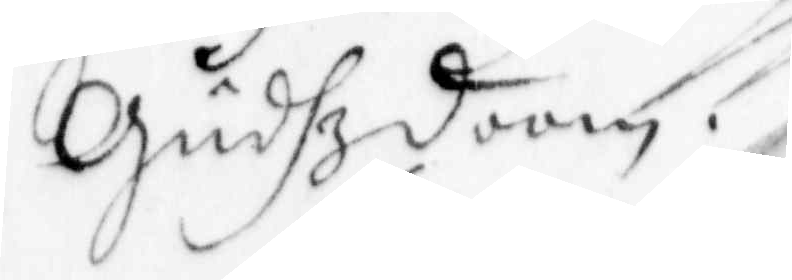Gudhz doom.
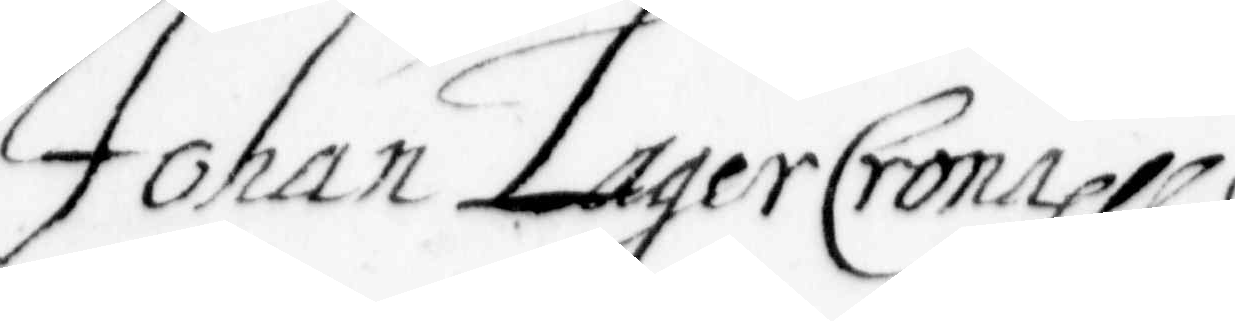Johan LagerCronehll
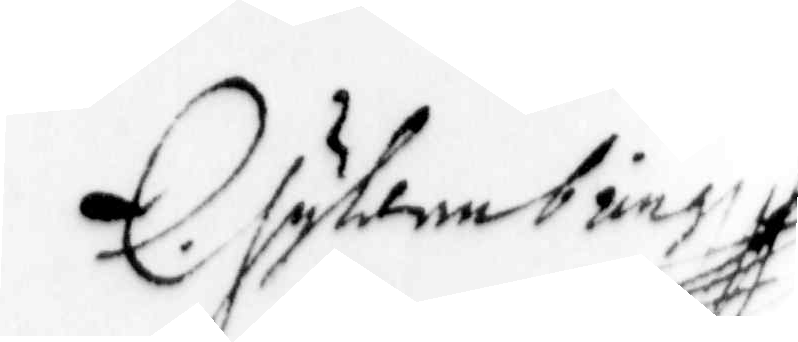Gyllenbring
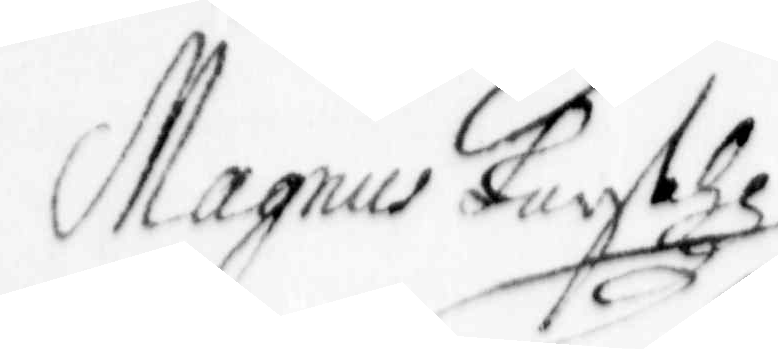Magnus Larsohn
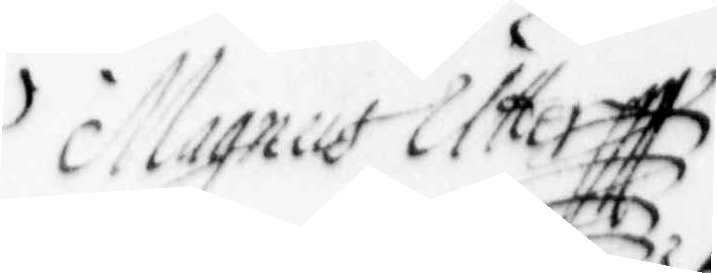Magnus Utter
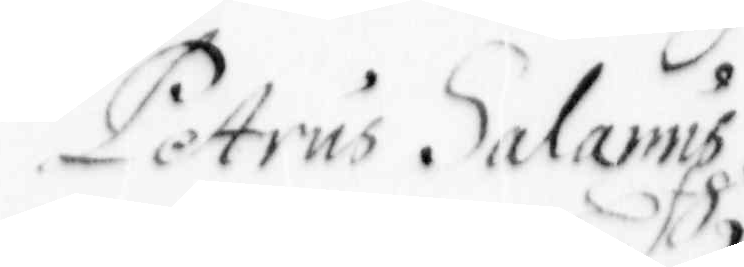Petrus Salamp
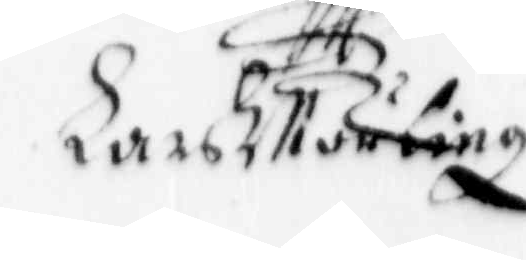Lars Mörling
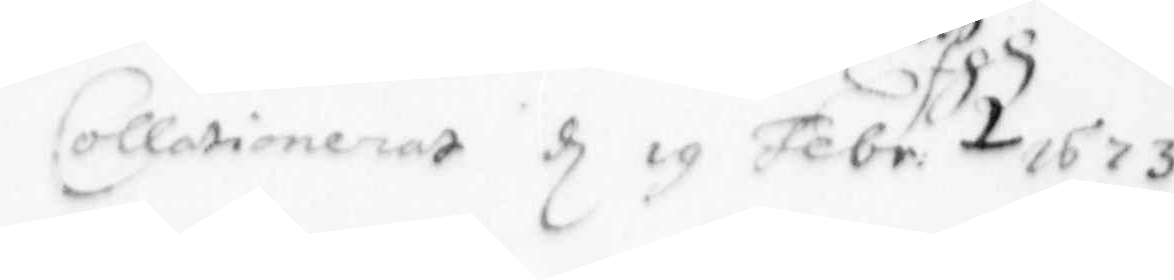Collationerat d 19 Febr. 1673
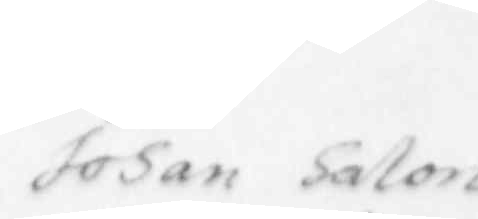Johan Salon
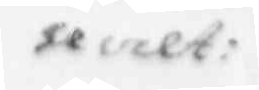secret:
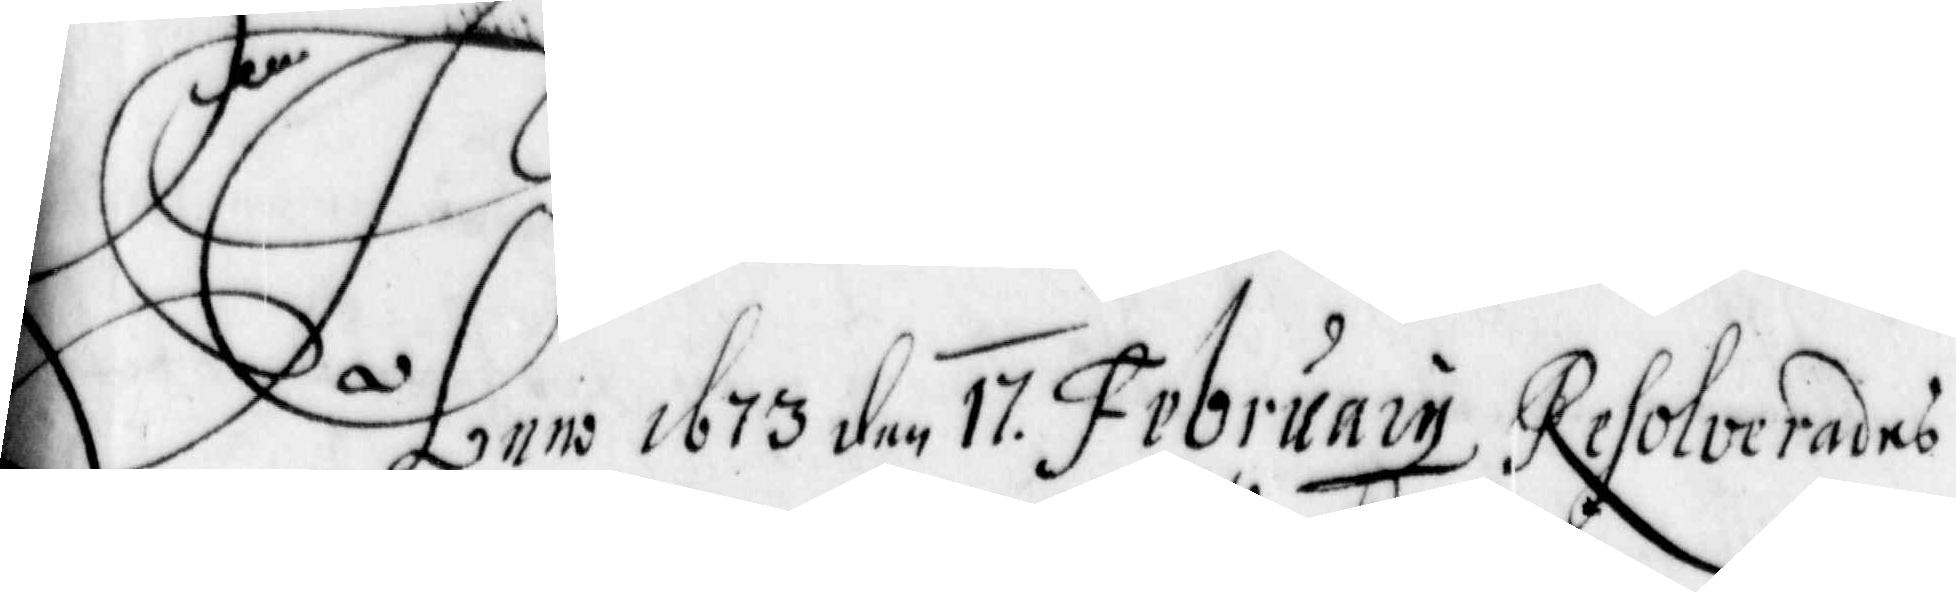Anno 1673 den 17. february Resolverades
